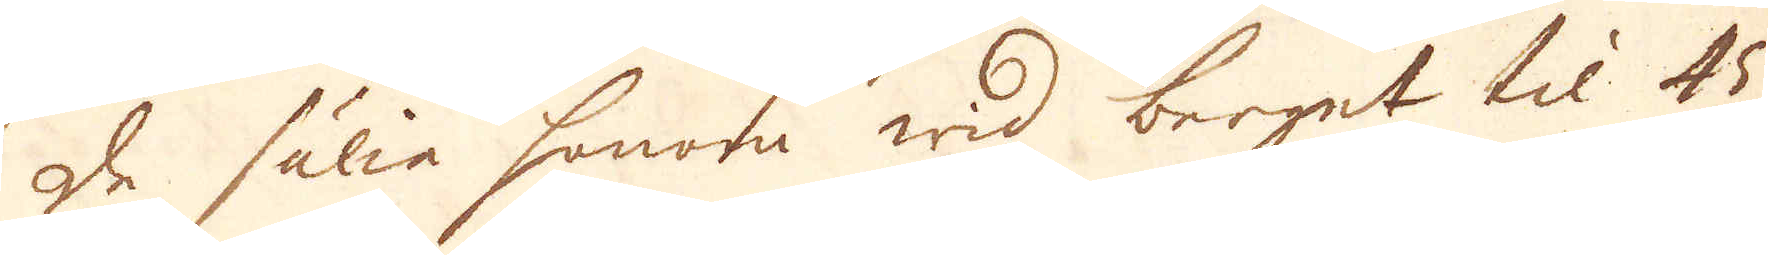De sälia honom wid berget til 45
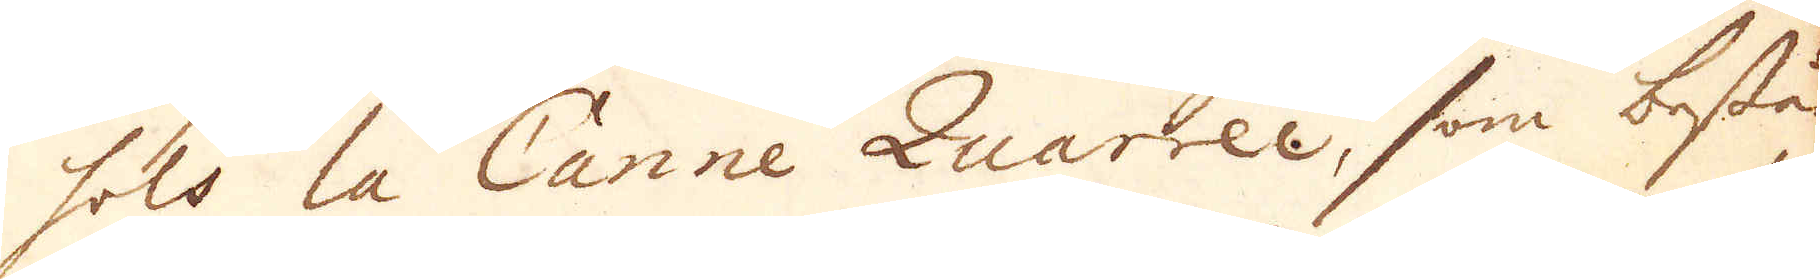sols la Canne Quarréee, som bestå
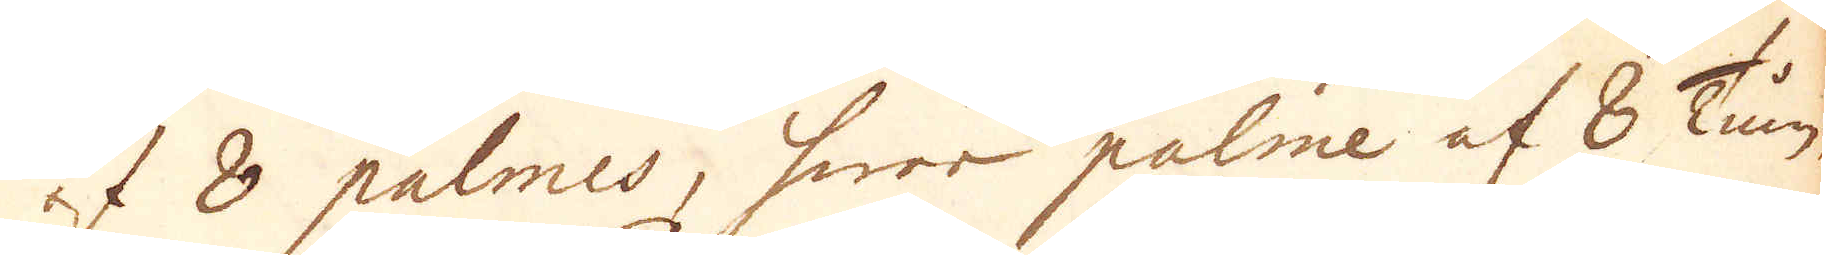af 8 palmes, hwar palme af 8 Tum.
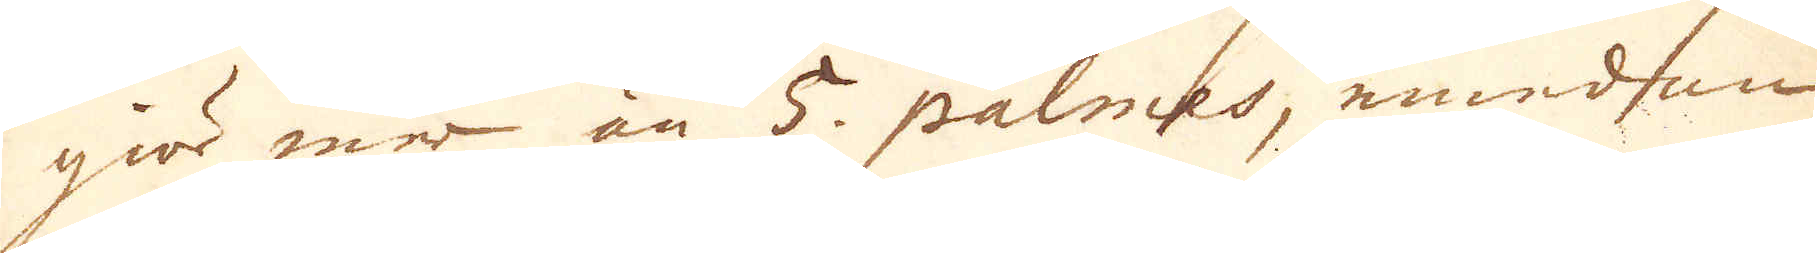giör mer än 5. palmes, emedan
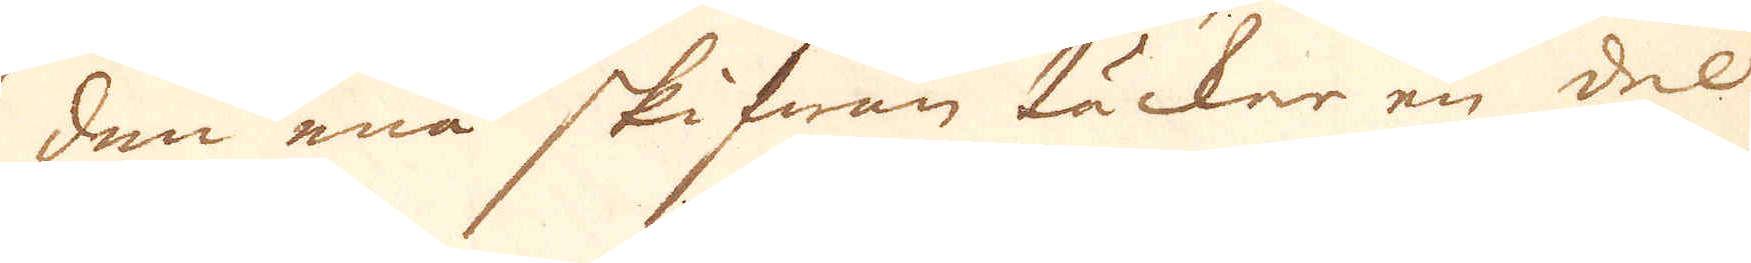den ena skifwan täcker en del
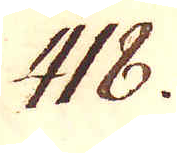418.
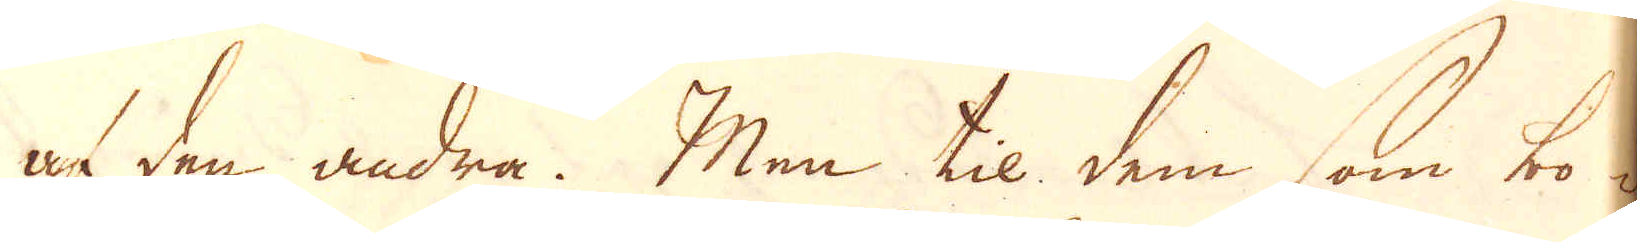af den andra. Men til dem som bo i
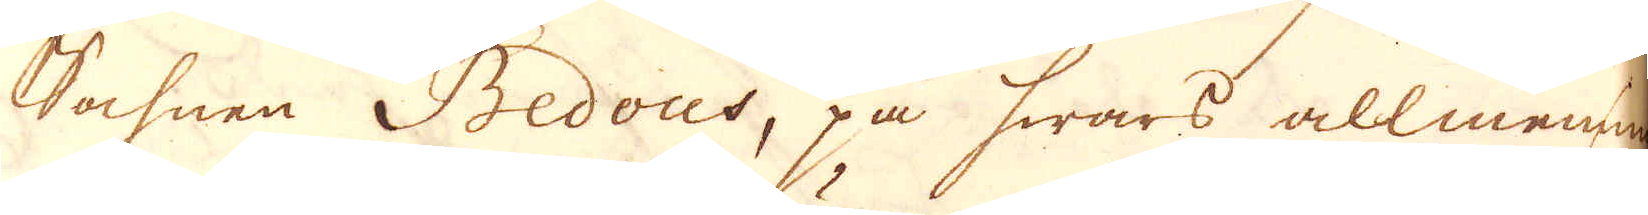Sohnen Bedous, på hwars allmening
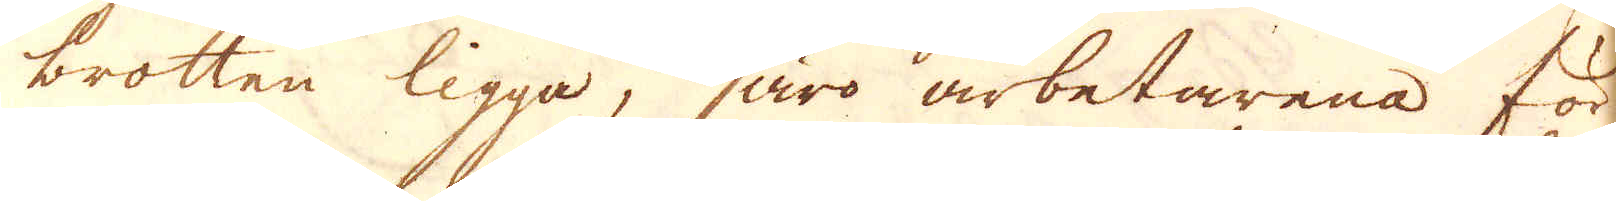brotten ligga, äro arbetarena för-
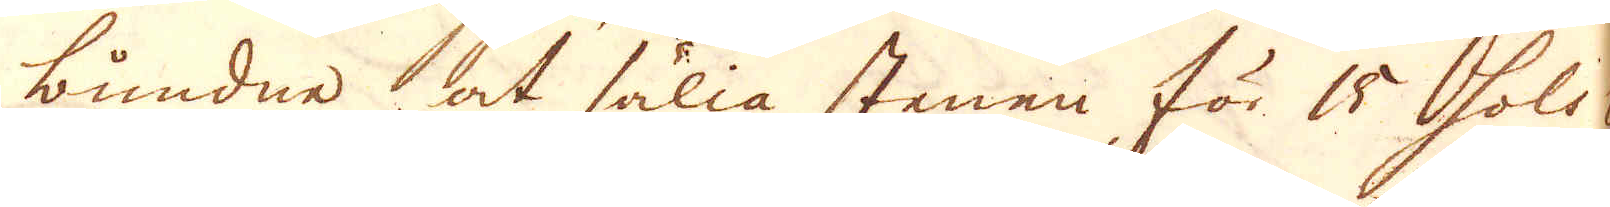bundne at sälia stenen för 15 Sols p
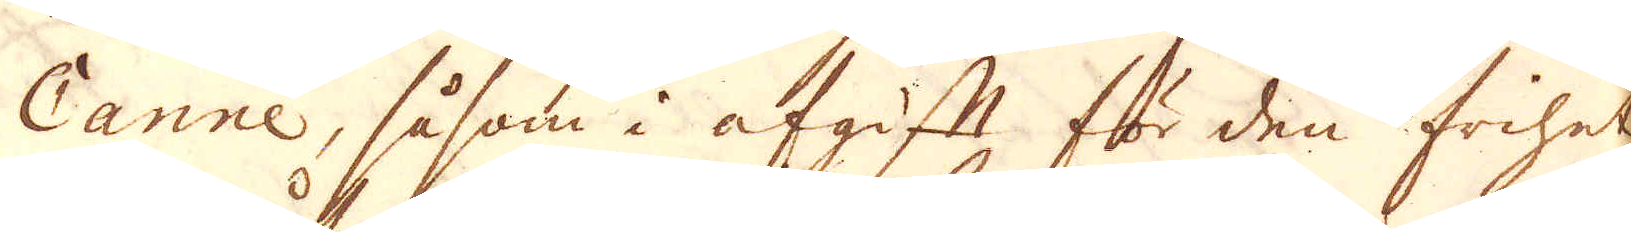Canne, såsom i afgift för den frihet
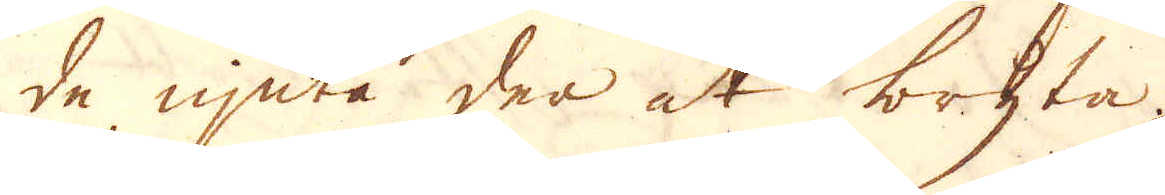de njuta der at bryta.
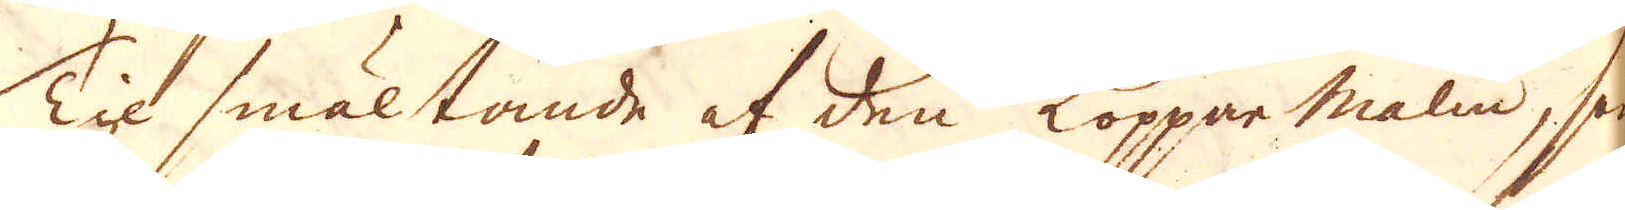Til smältande af den Kopparmalm, som
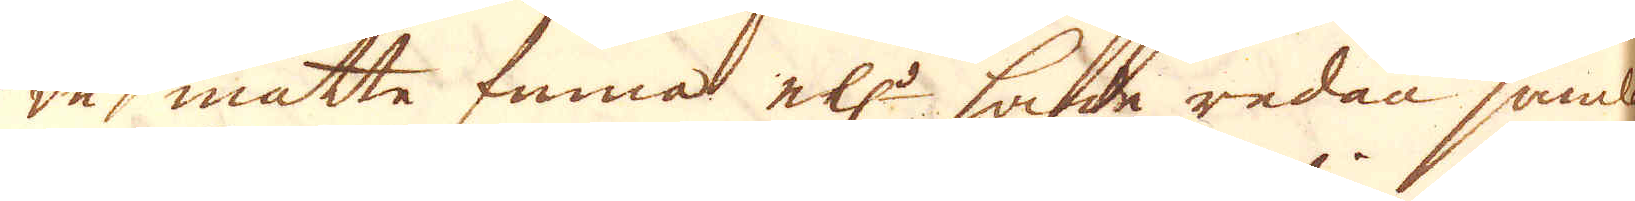de måtte finna el:r hade redan samlat
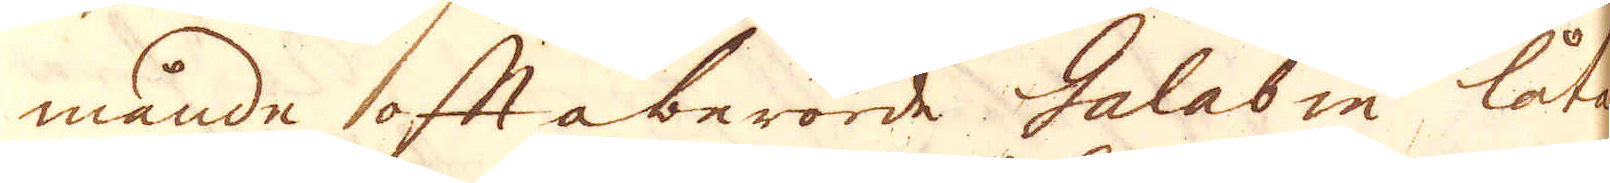månde oftaberörde Galabin låta
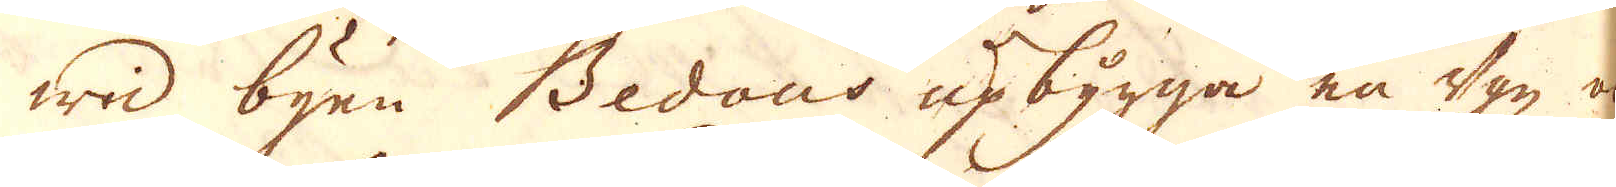wid byen Bedous upbygga en ugn och
